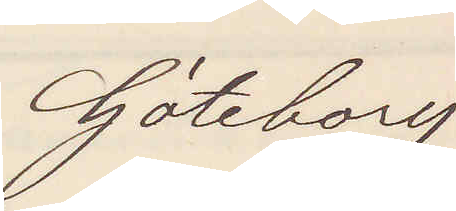Göteborg
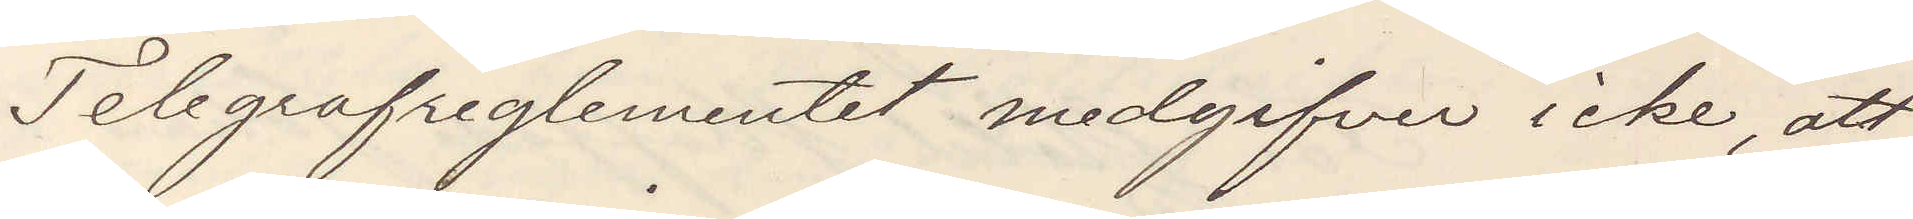Telegrafreglementet medgifver icke att
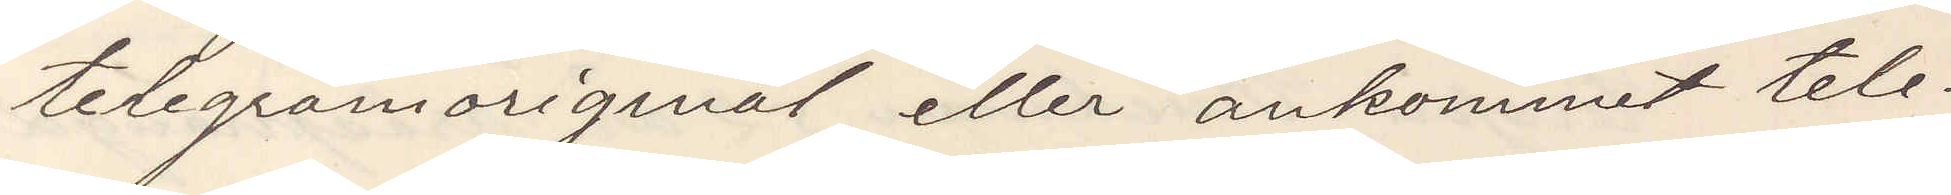telgramoriginal eller ankommet tele¬
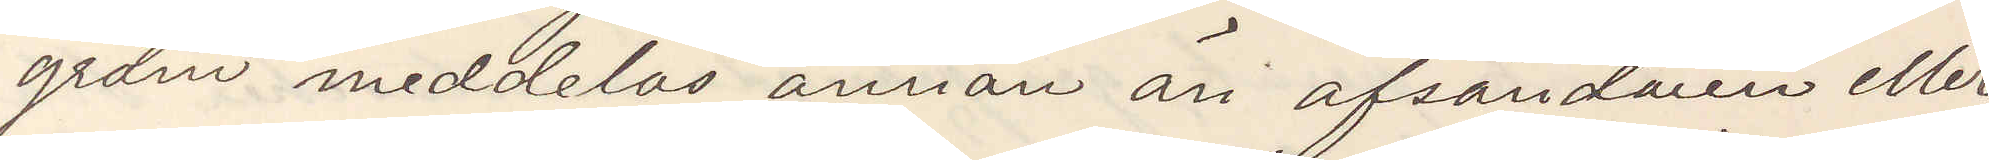gram meddelas annan än afsändaren eller
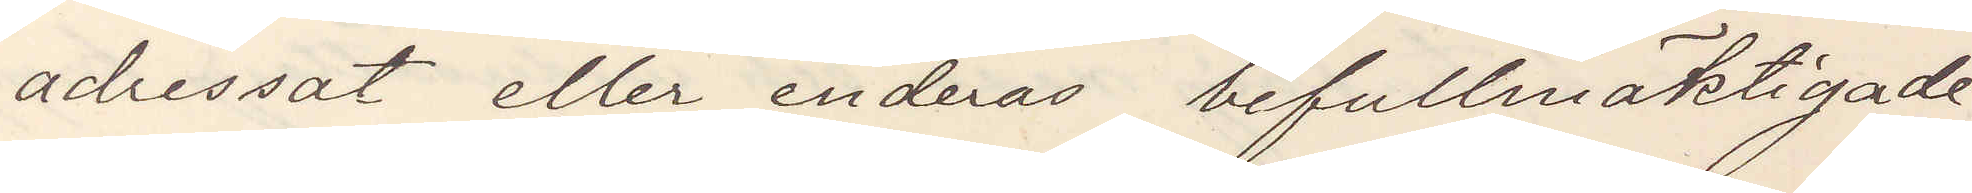adressat eller endera befullmäktigade
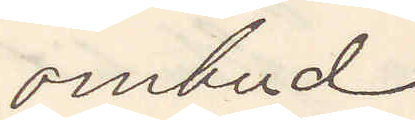ombud
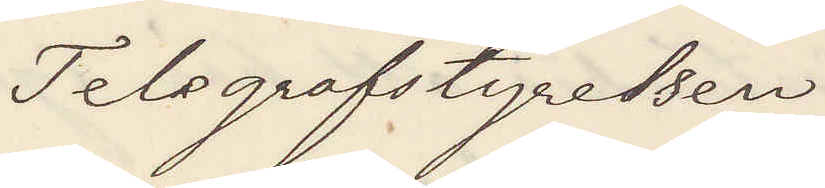Telegrafstyrelsen
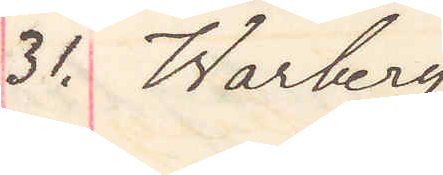31. Warberg
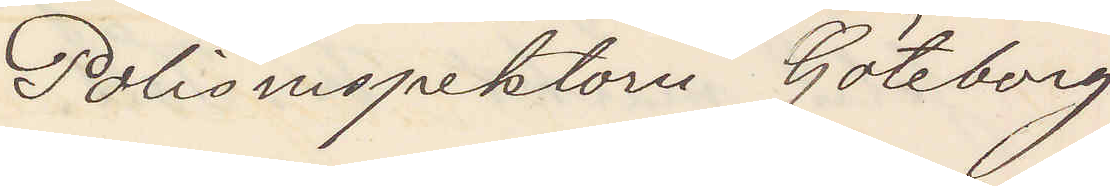Polisinspektorn Göteborg
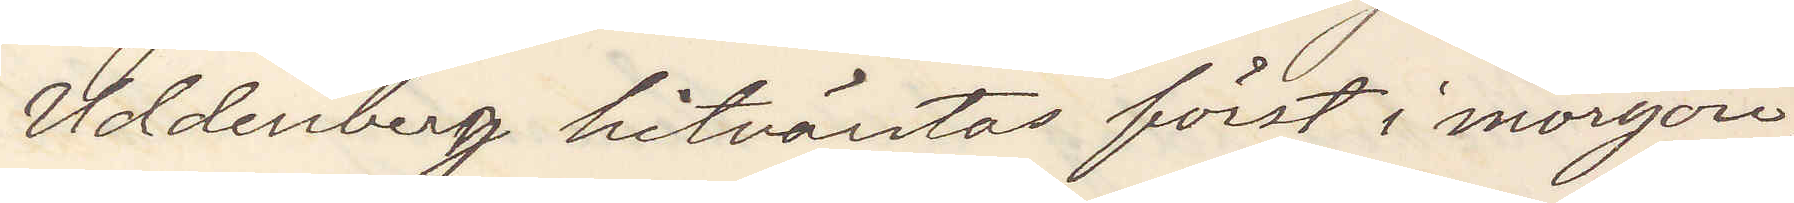Uddenberg hitväntas först i morgon,
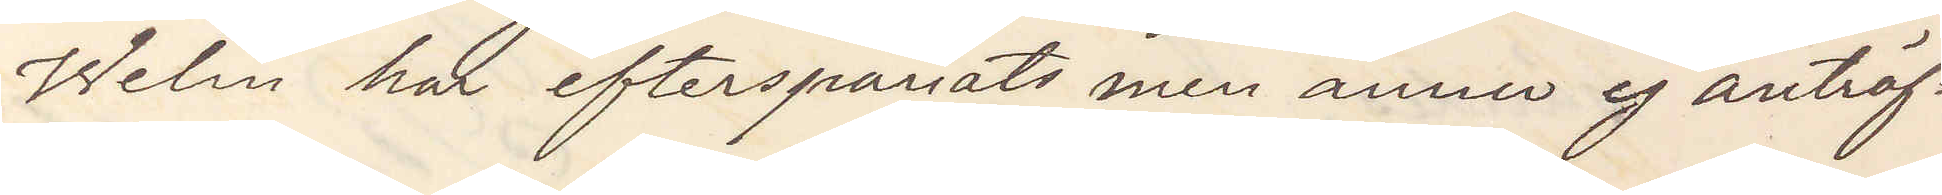Welin har efterspanats men ännu ej anträf¬
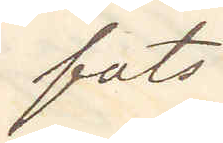fats
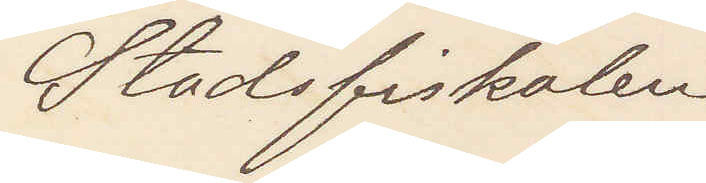Stadsfiskalen
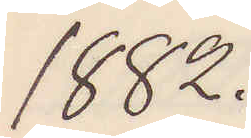1882.
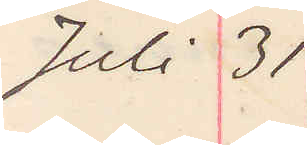Juli 31
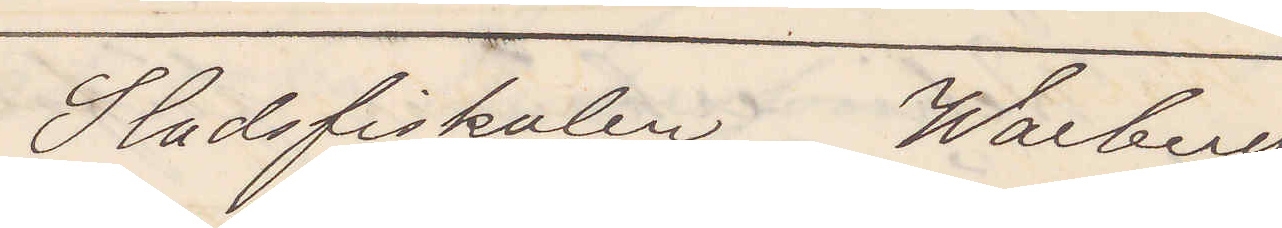Stadsfiskalen Warberg
